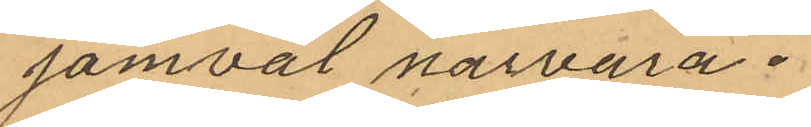jämväl närvara.
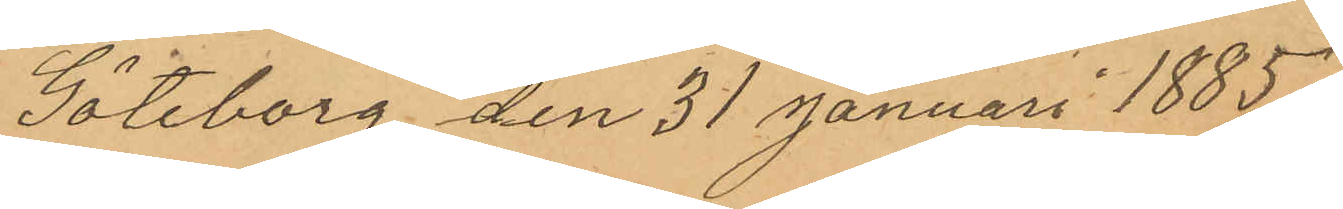Göteborg den 31 Januari 1885.
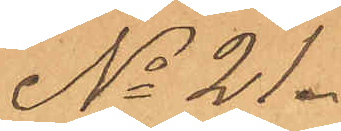No 21.
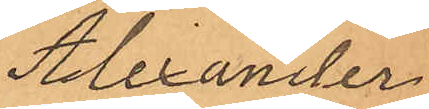Alexander
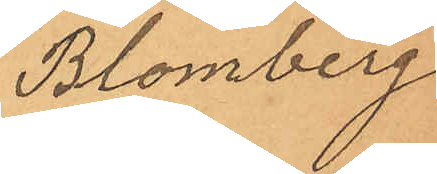Blomberg
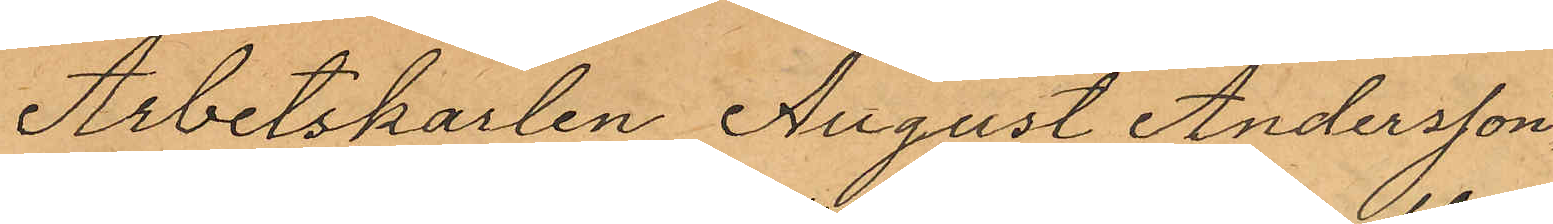Arbetskarlen August Andersson
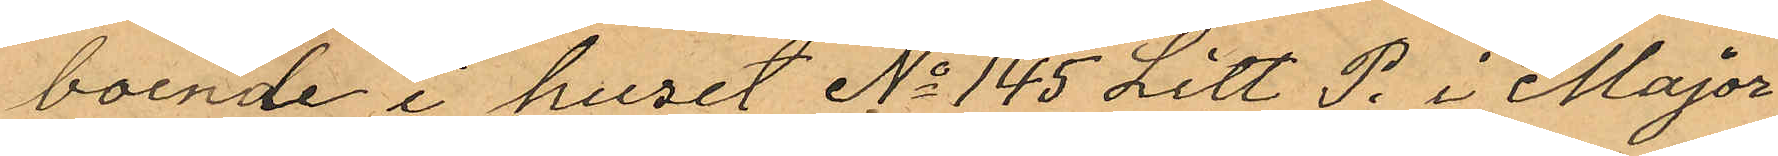boende i huset No 145 Litt P. i Major¬
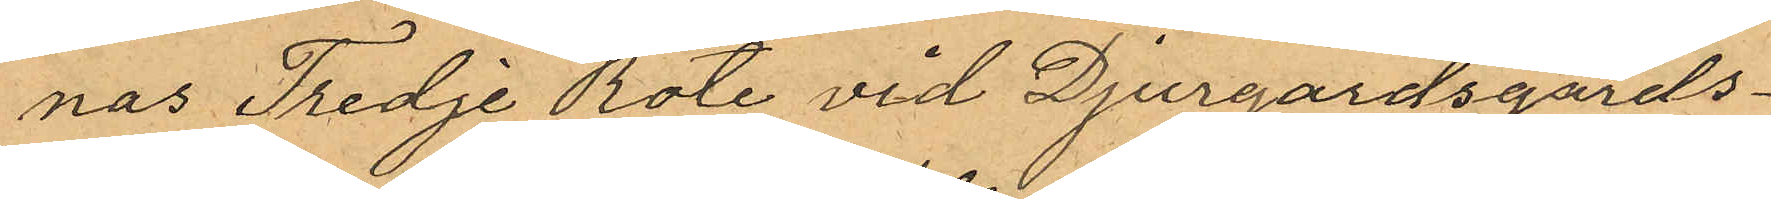nas Tredje Rote vid Djurgardsgårds¬
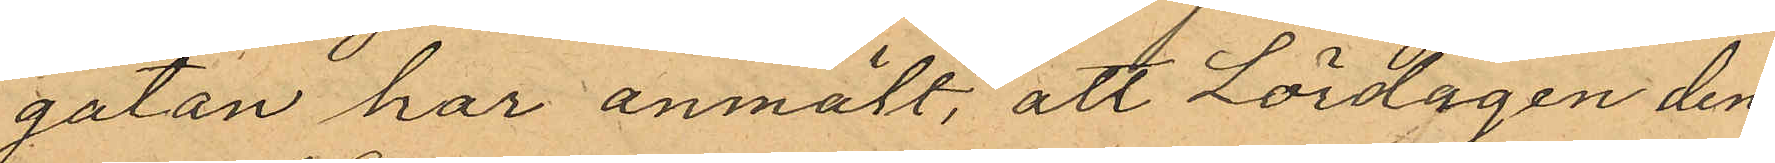gatan har anmält, att Lördagen den
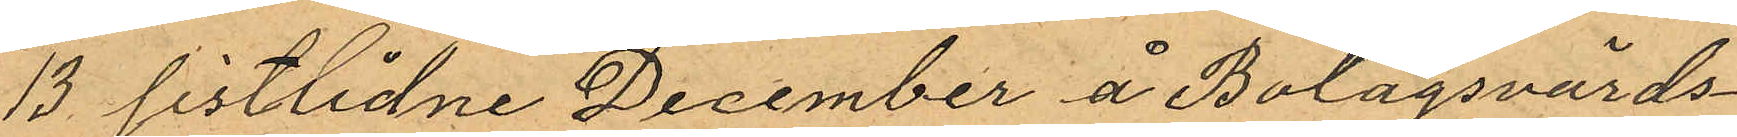13 sistlidne December å Bolagsvärds¬
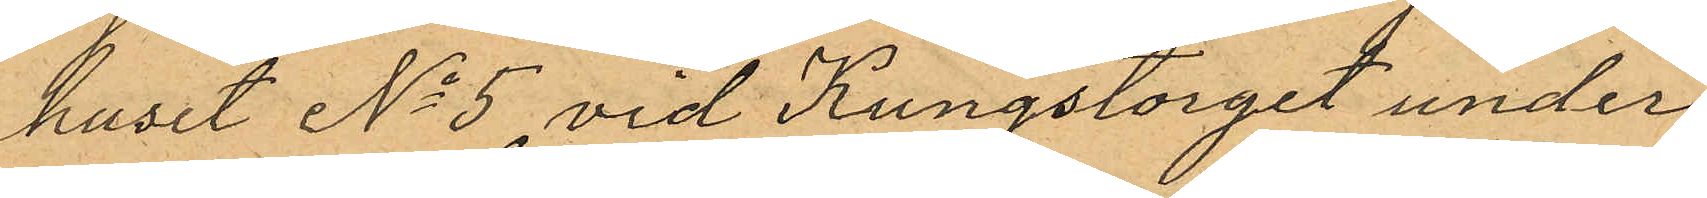huset No 5 vid Kungstorget under
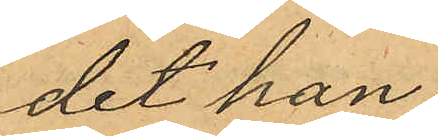det han
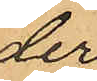der
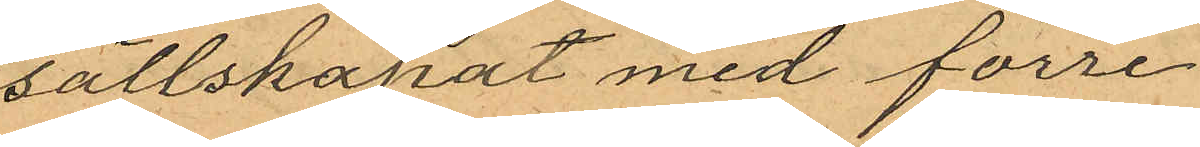sällskapat med förre
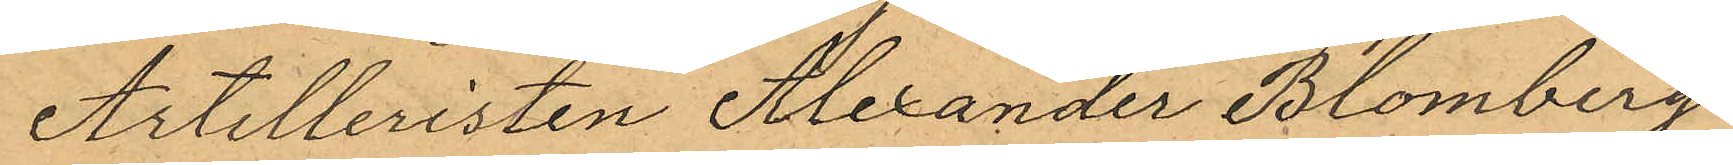Artilleristen Alexander Blomberg
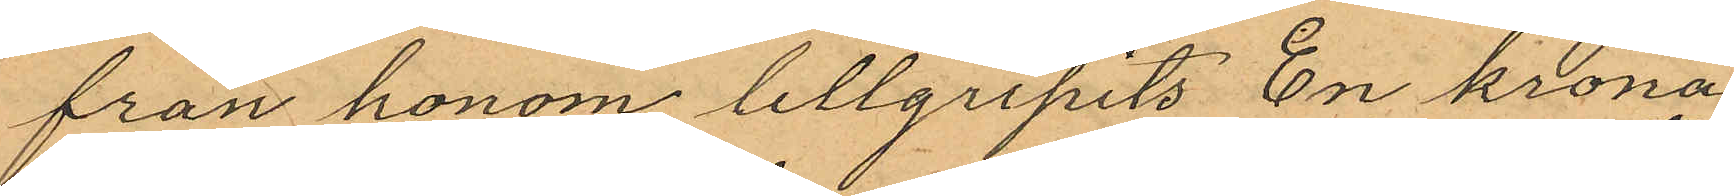från honom tillgripits En krona
